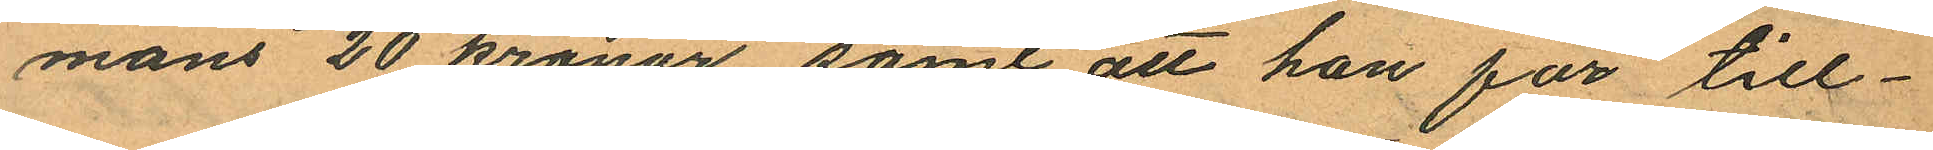mans 20 kronor, samt att han för till¬
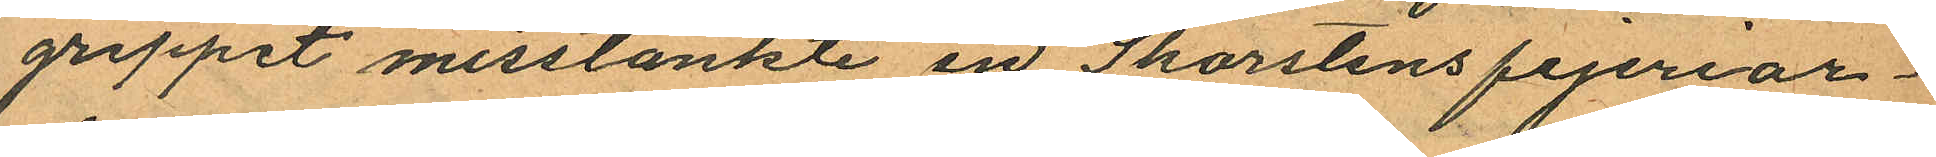greppet misstänkte en Skorstensfejeriar¬
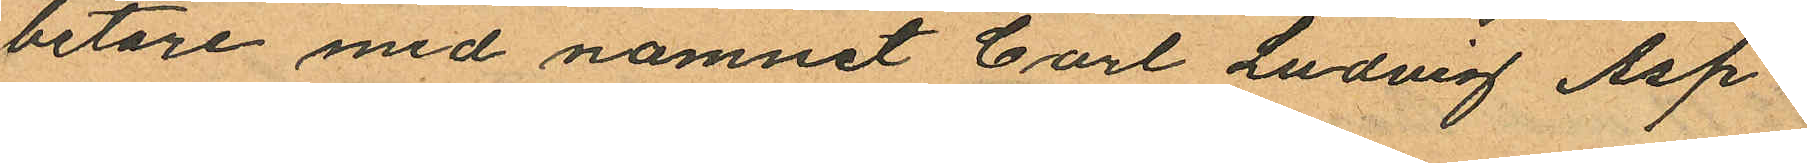betare med namnet Carl Ludvig Asp¬
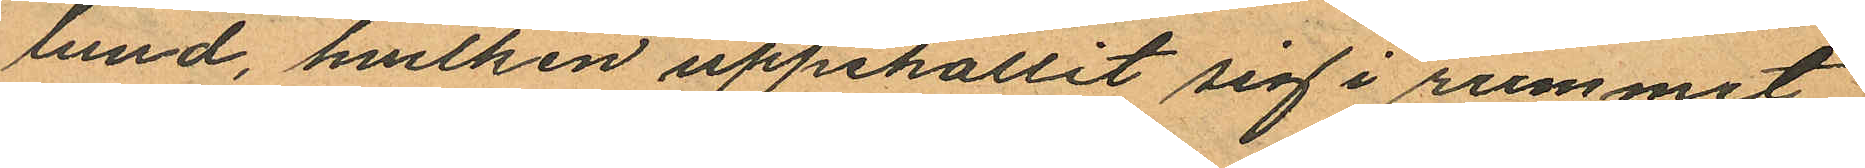lund, hvilken uppehållit sig i rummet
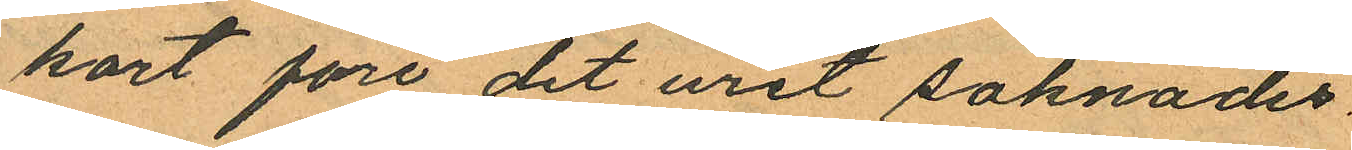kort före det uret saknades.
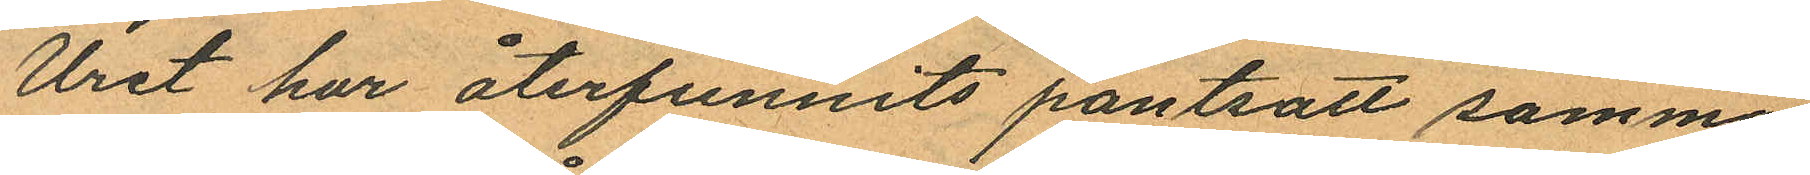Uret har återfunnits pantsatt samma
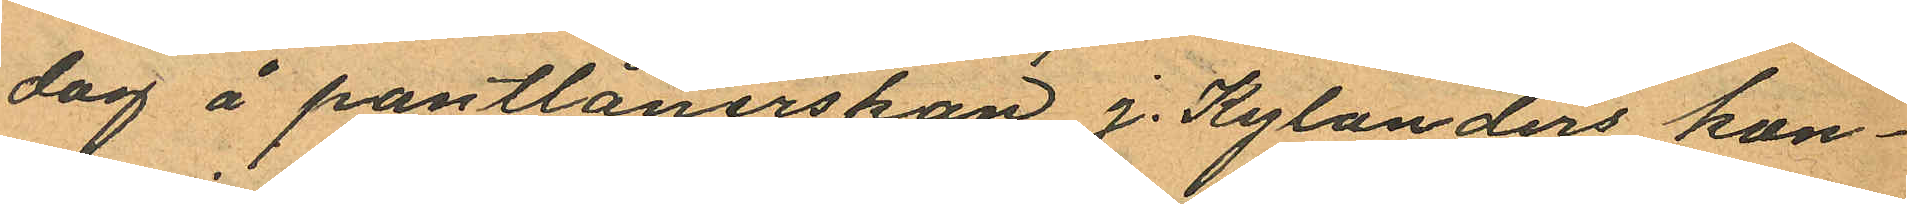dag å pantlånerskan J. Kylanders kon¬
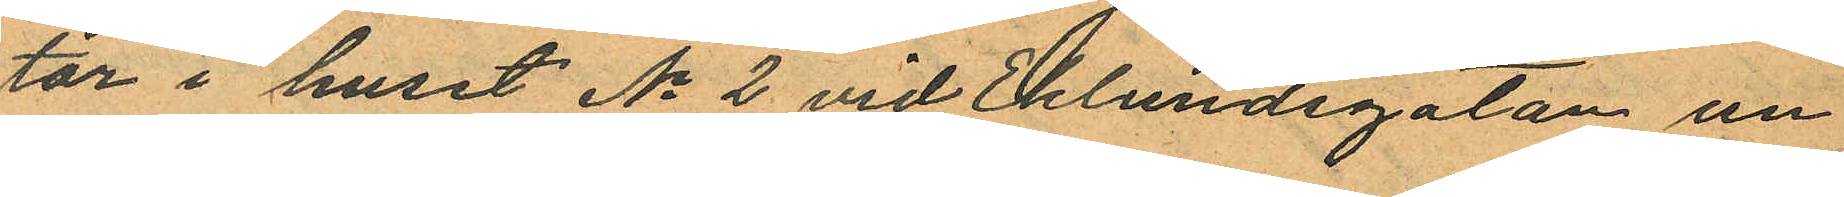tor i huset No 2 vid Eklundsgatan un¬
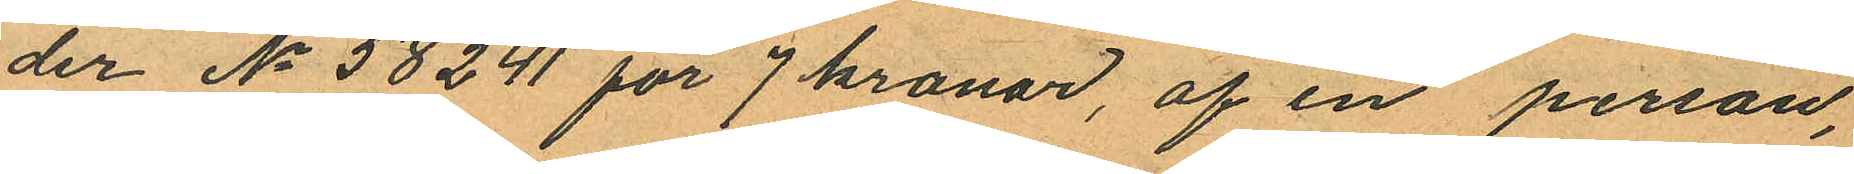der No 58241 för 7 kronor, af en person,
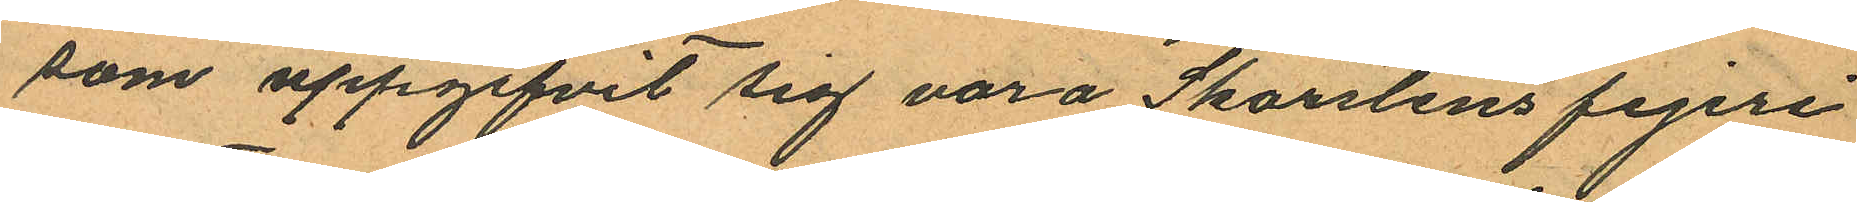som uppgifvit sig vara Skorstensfejeri
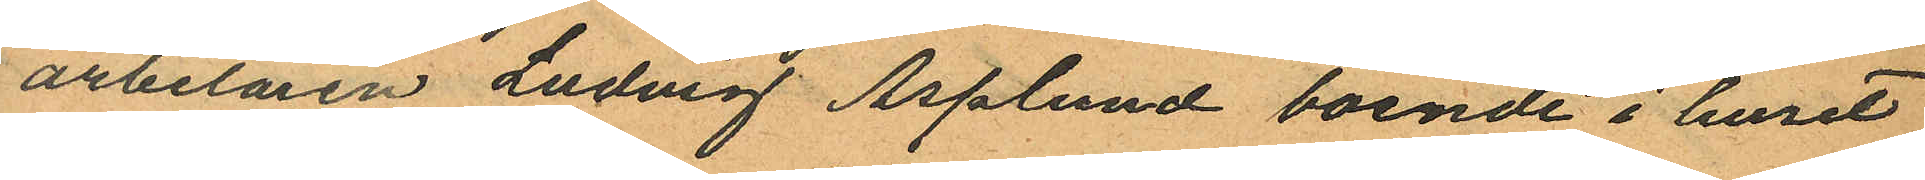arbetaren Ludvig Asslund boende i huset
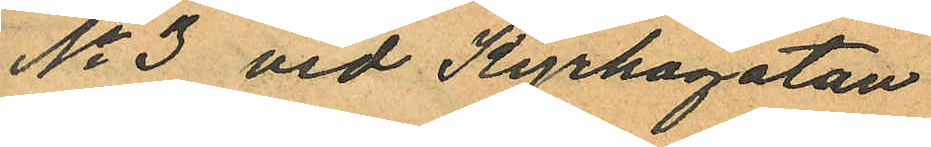No 3 vid Kyrkogatan
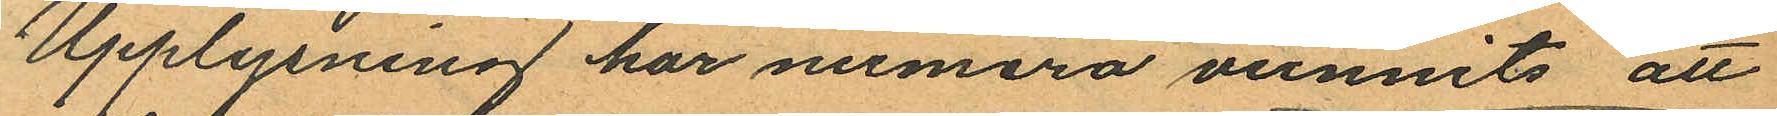Upplysning har numera vunnits att
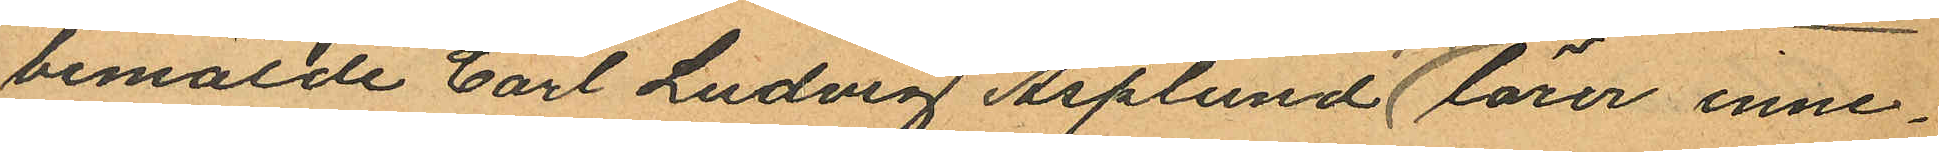bemälde Carl Ludvig Asplund lärer inne¬
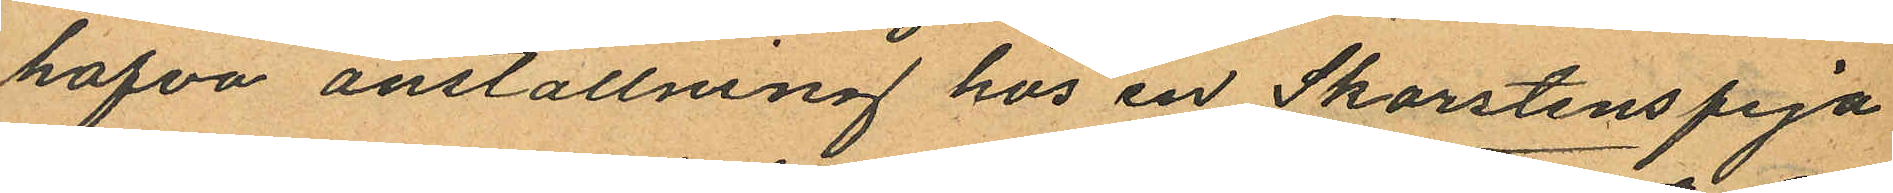hafva anställning hos en Skorstensfeja
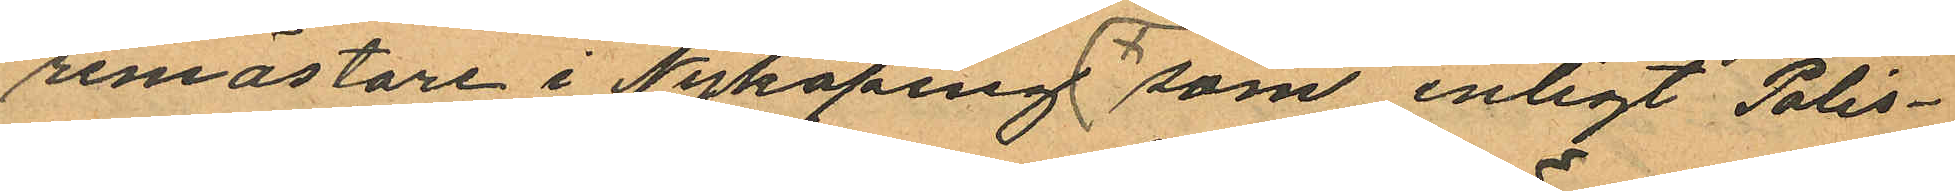remästare i Nyköping som enligt Polis¬
